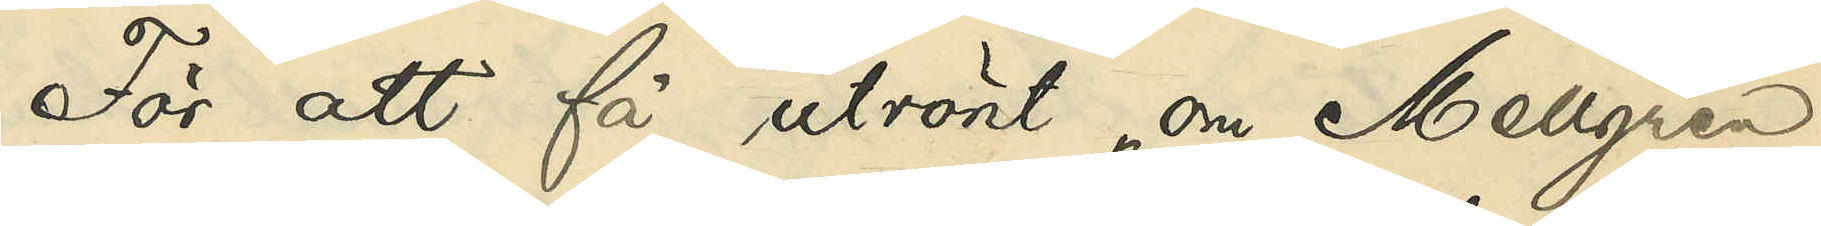För att få utrönt om Mellgren
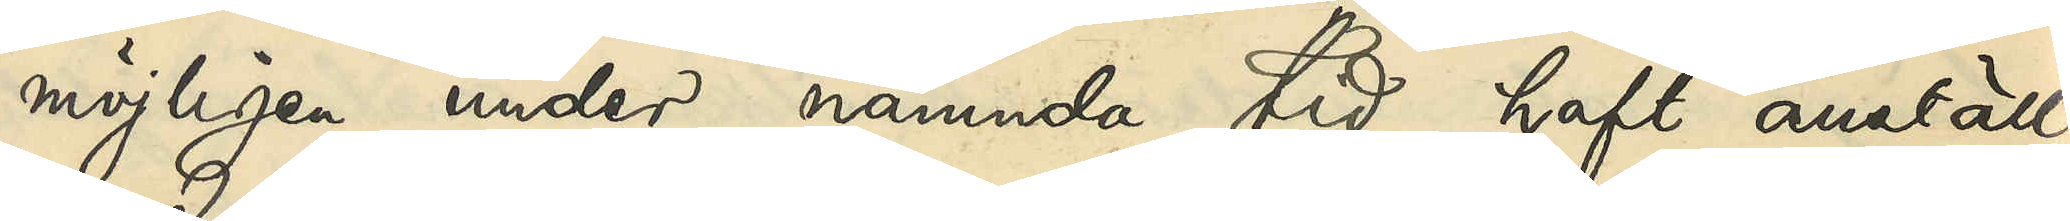möjligen under nämnda tid haft anställ¬
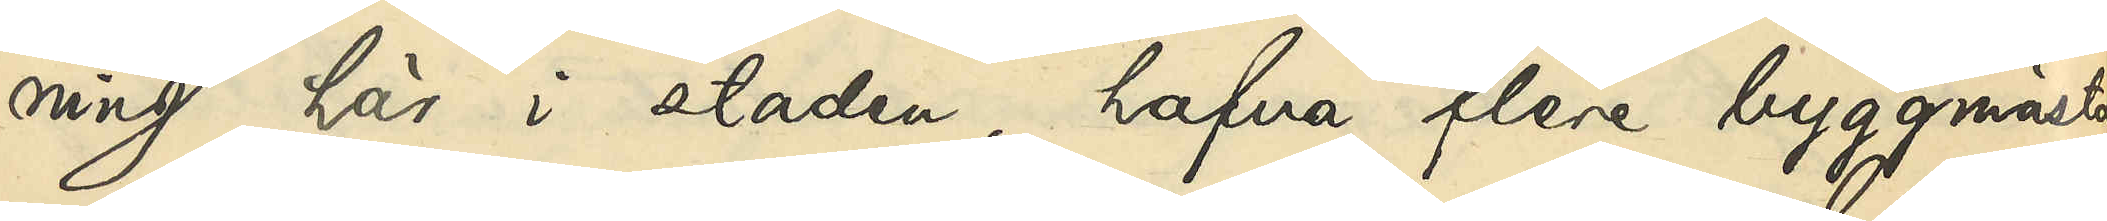ning här i staden, hafva flere byggmästa¬
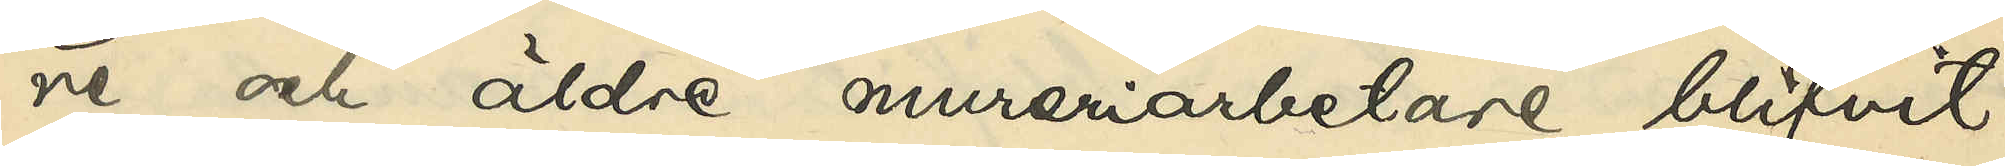re och äldre mureriarbetare blifvit
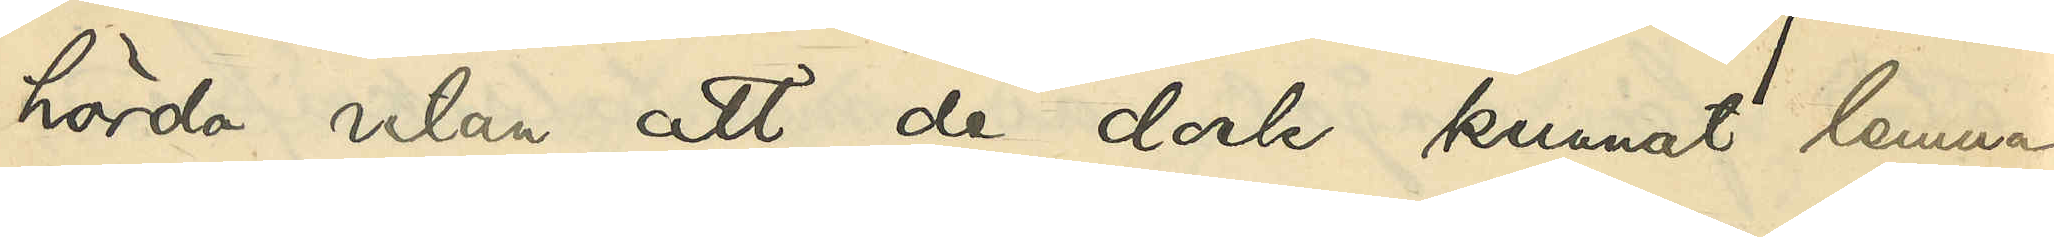hörda utan att de dock kunnat lemna
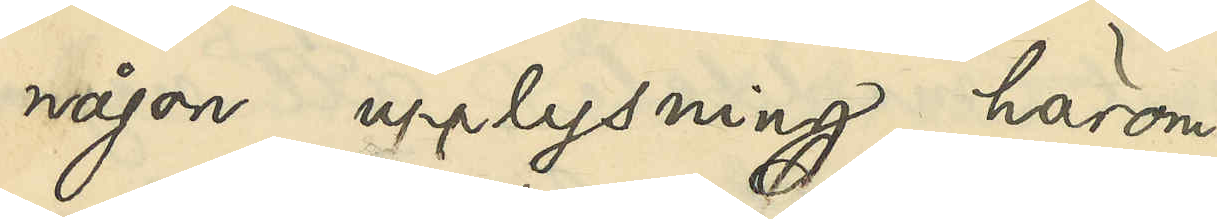någon upplysning härom.
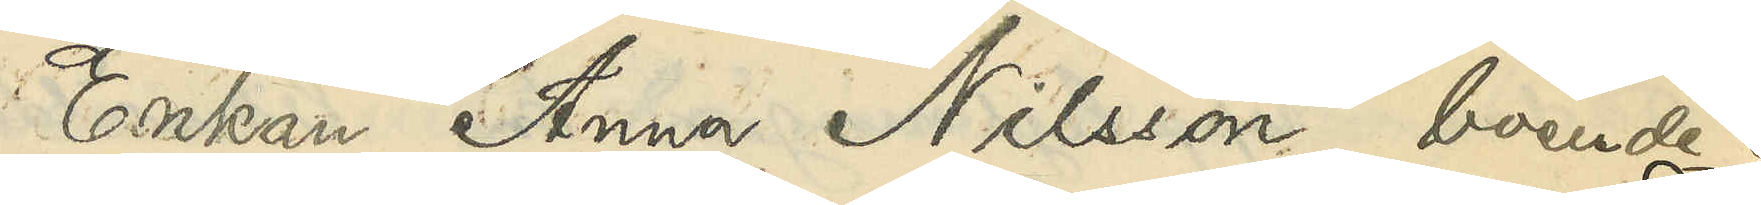Enkan Anna NIlsson, boende i
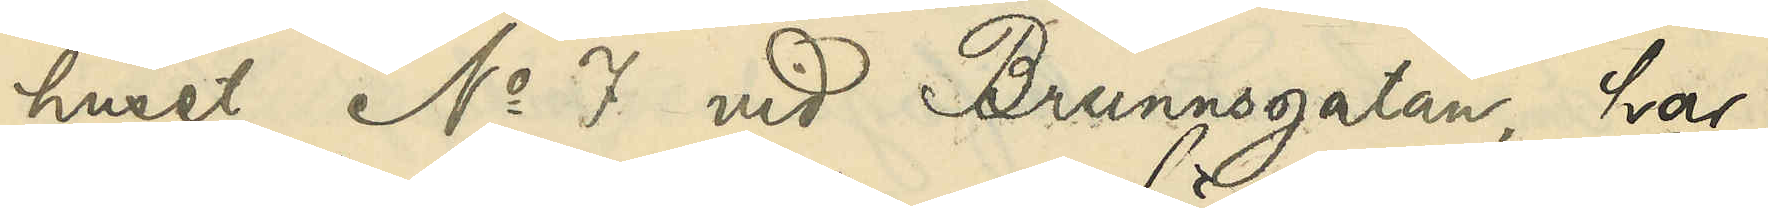huset No 7 vid Brunnsgatan, har
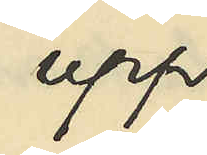upp¬
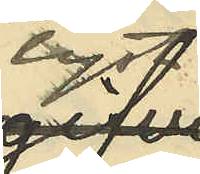lyst
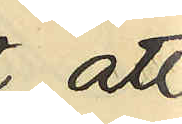att
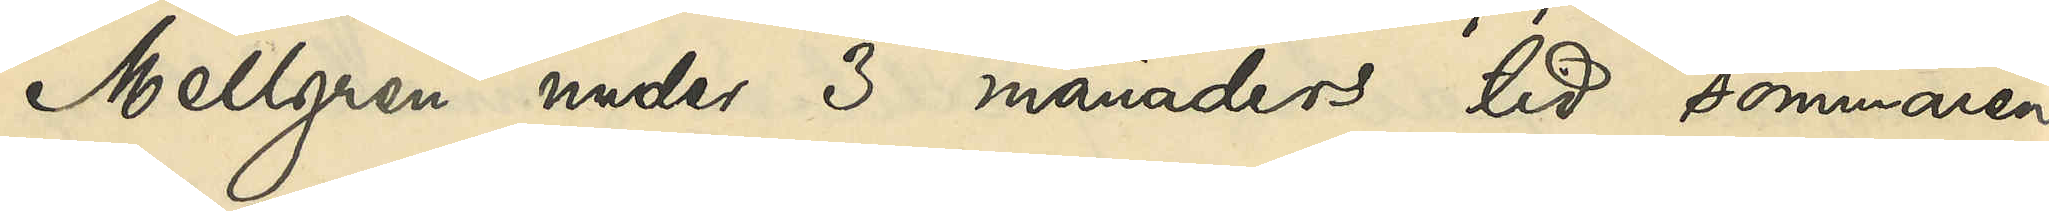Mellgren under 3 månaders tid sommaren
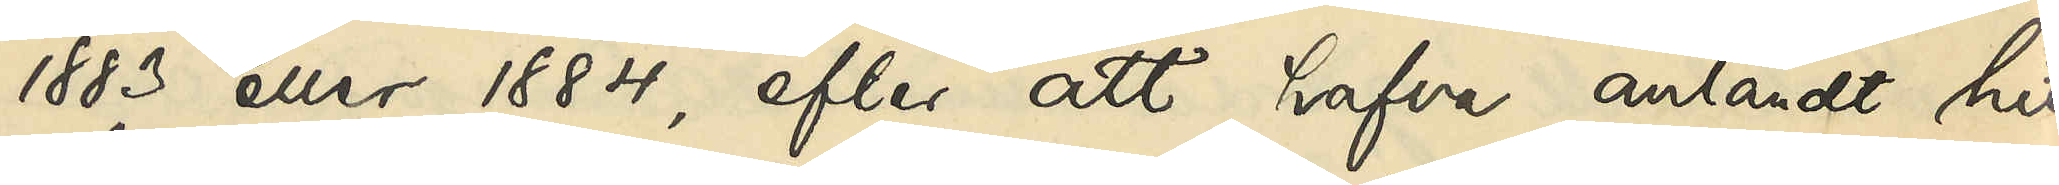1883 eller 1884, efter att hafva anländt hit
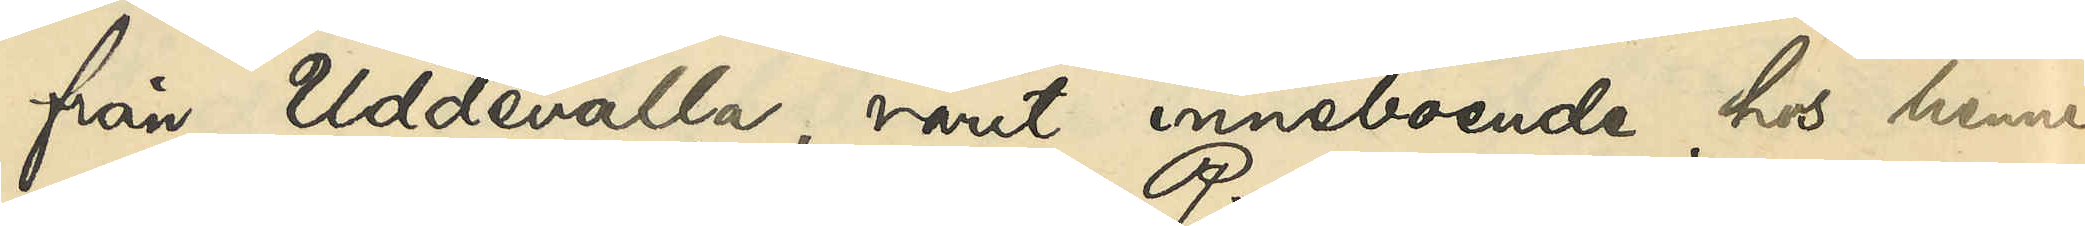från Uddevalla, varit inneboende hos henne
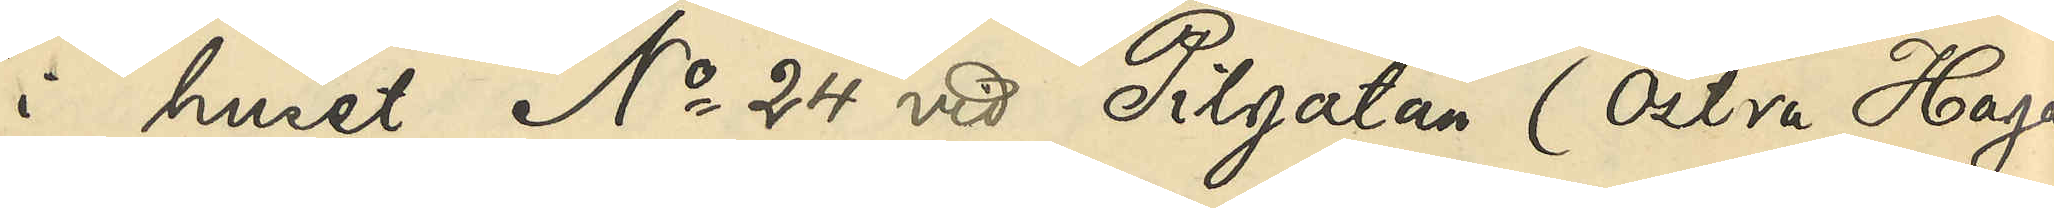i huset No 24 vid Pilgatan (Östra Haga
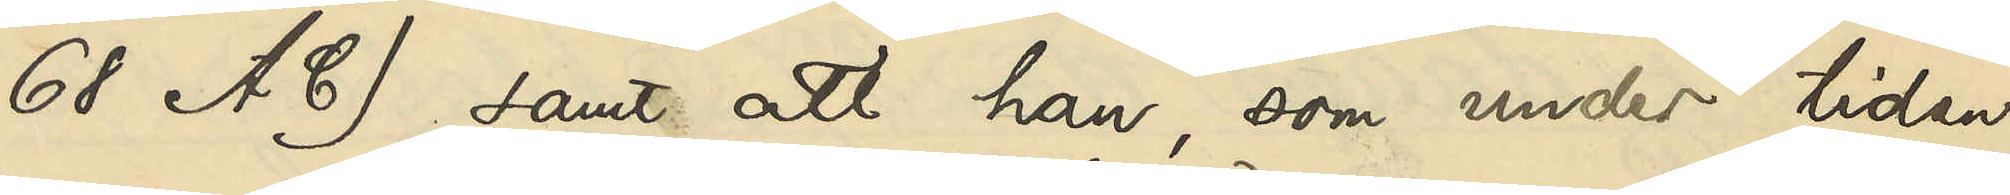68 A C), samt att han, som under tiden
